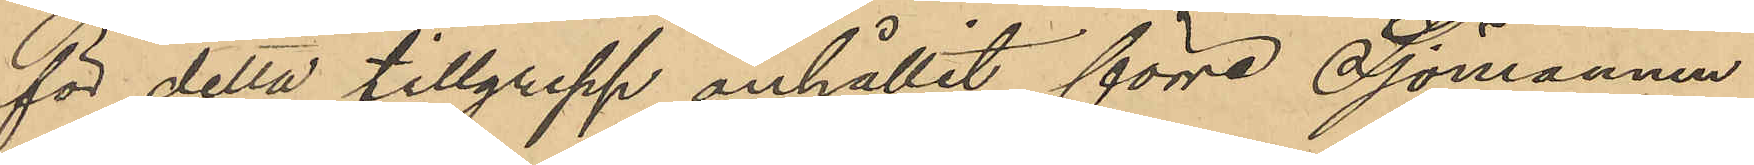för detta tillgrepp anhållit förre Sjömannen
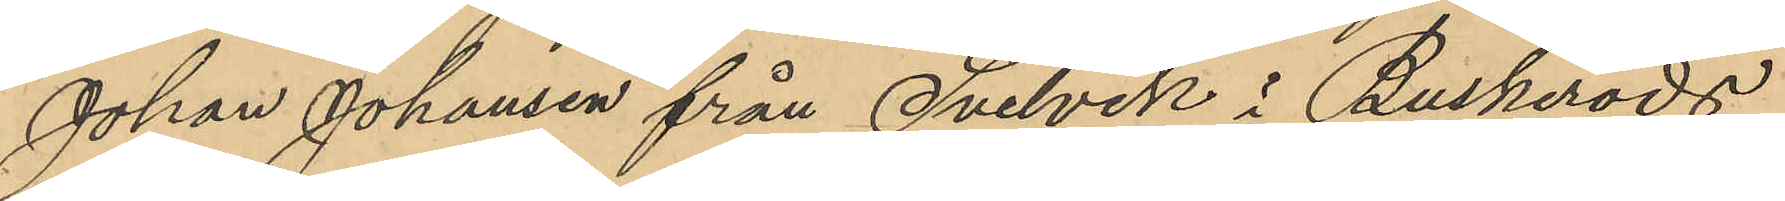Johan Johansen från Svelvik i Buskeröds
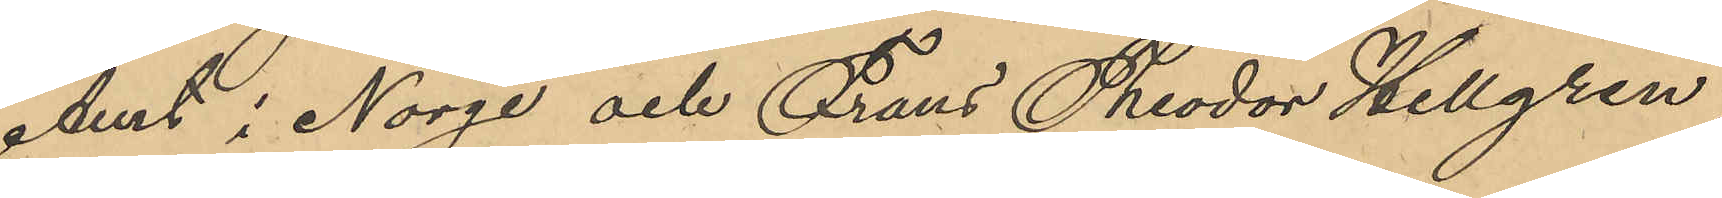Amt i Norge och Frans Theodor Hellgren
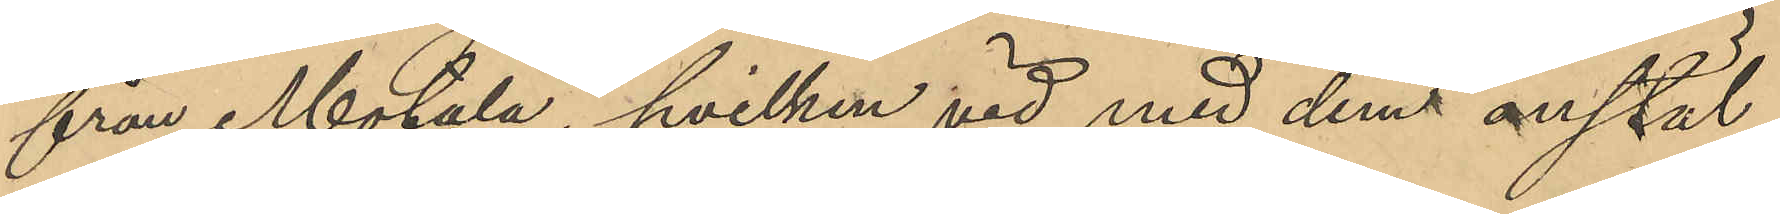från Motala, hvilken vid med dem anstäl¬
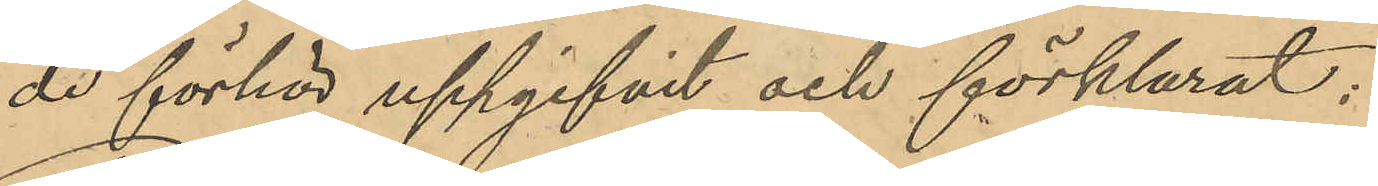de förhör uppgifvit och förklarat:
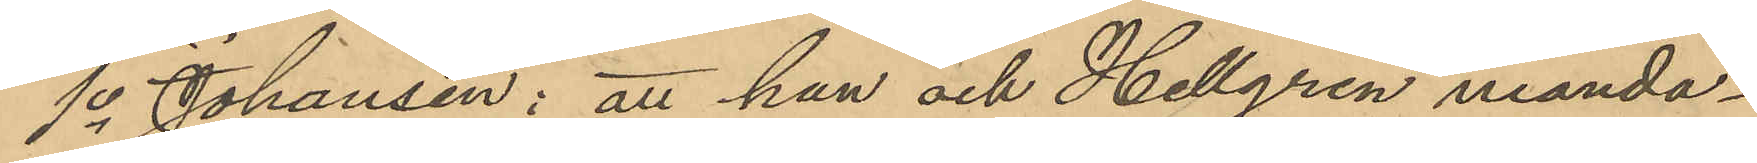1o Johansen: att han och Hellgren månda¬
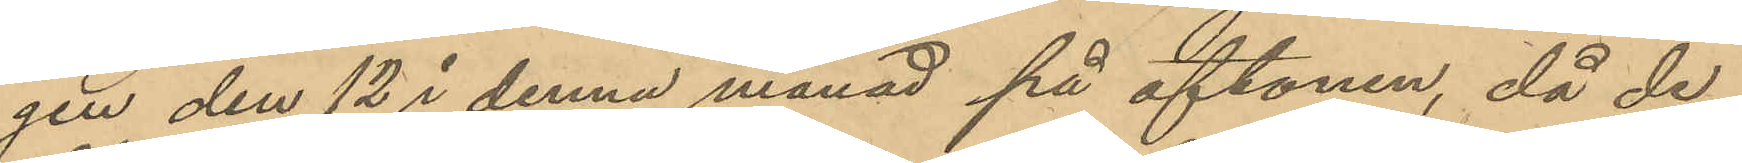gen den 12 i denna månad på aftonen, då de
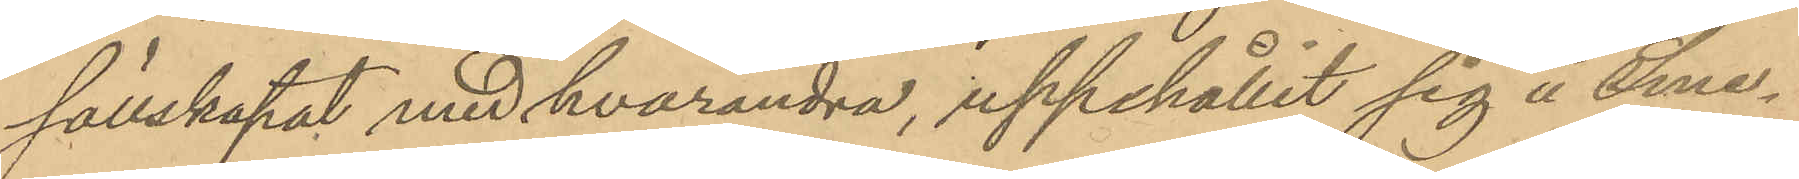sällskapat med hvarandra, uppehållit sig å Sme¬
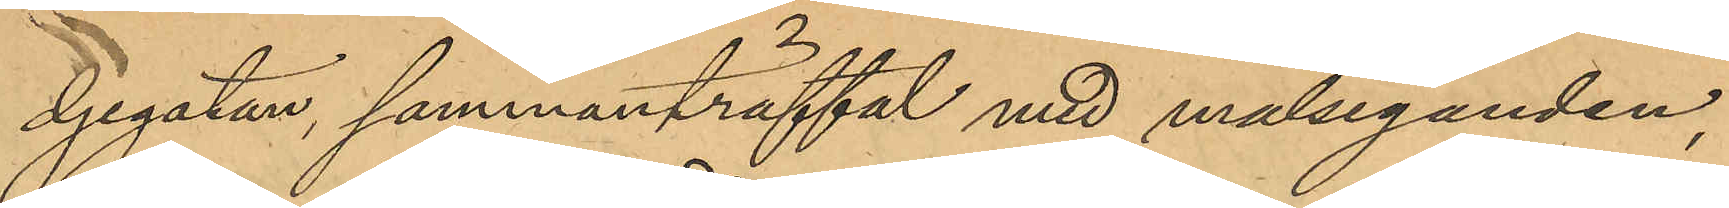djegatan, sammanträffat med målseganden,
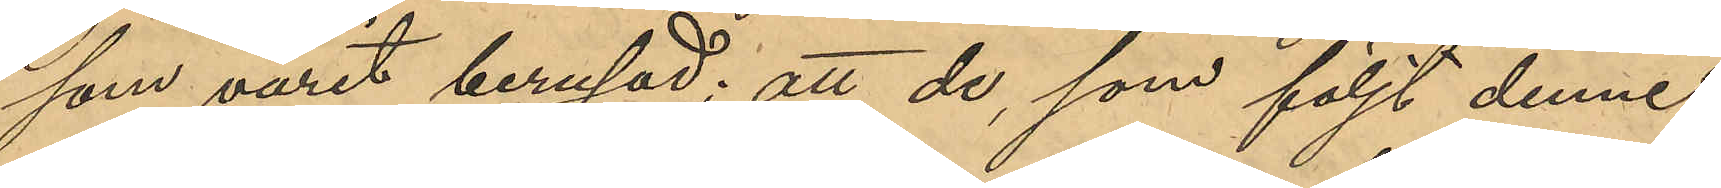som varit berusad; att de, som följt denne
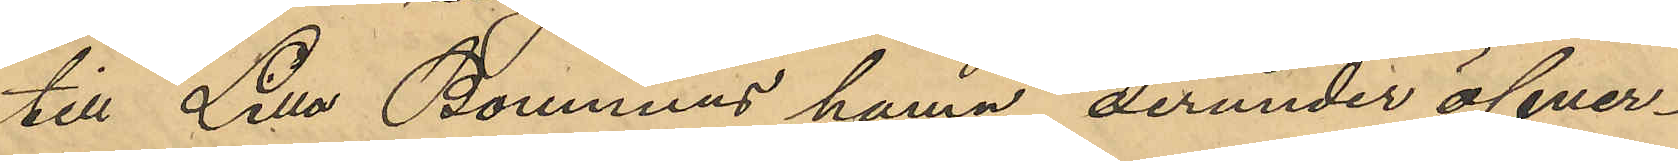till Lilla Bommens hamn, derunder öfver¬
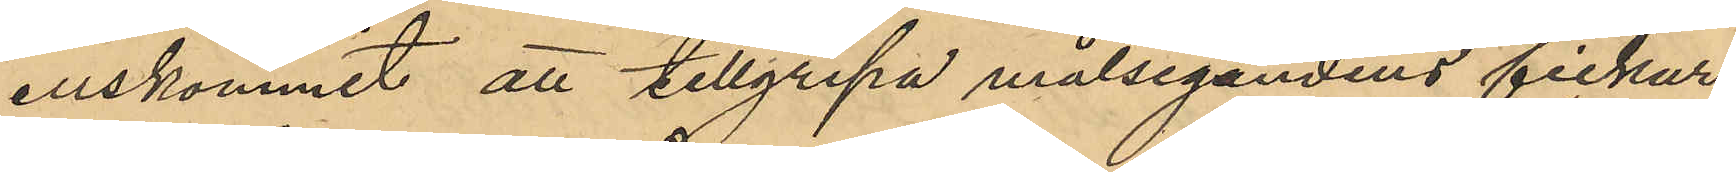enskommit att tillgripa målsegandens fickur;
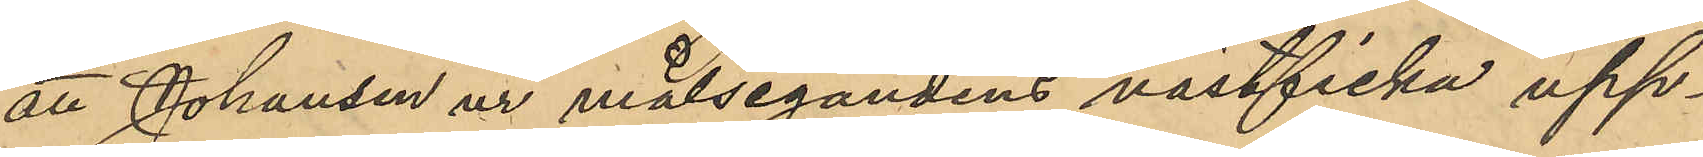att Johansen ur målsegandens västficka upp¬
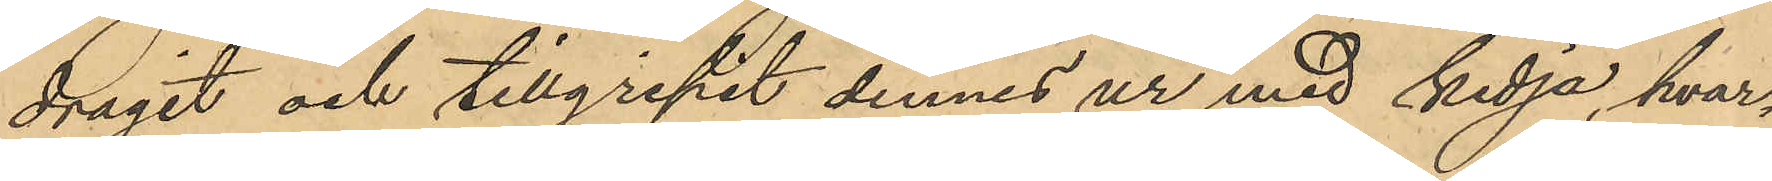dragit och tillgripit dennes ur med kedja, hvar¬
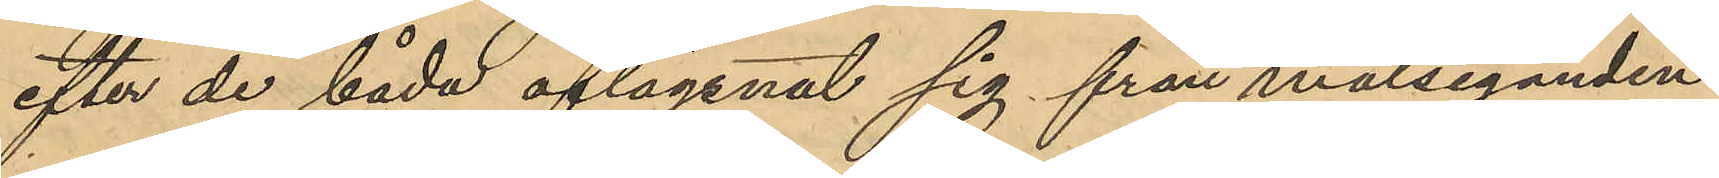efter de båda aflägsnat sig från målseganden
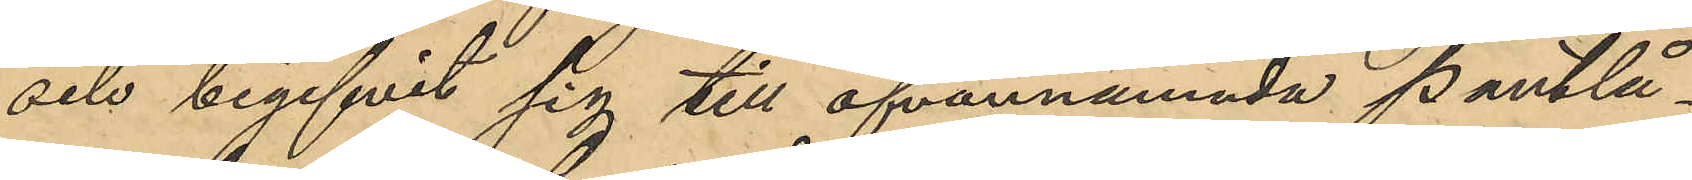och begifvit sig till ofvannämnda Pantlå¬
